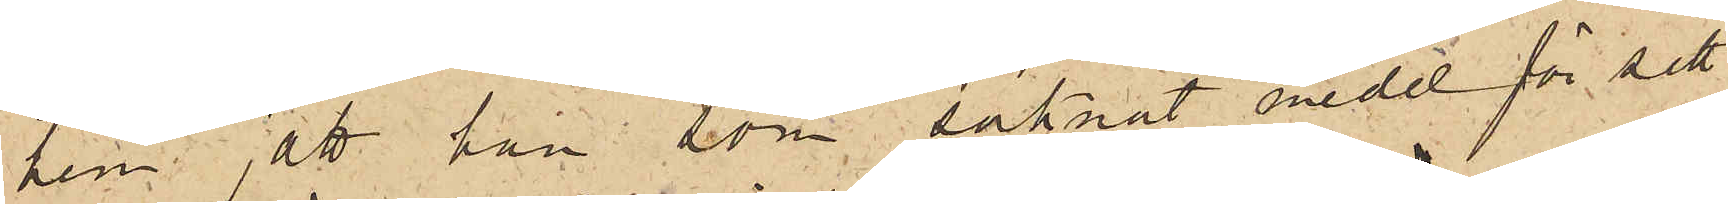hem; att han som saknat medel för sitt
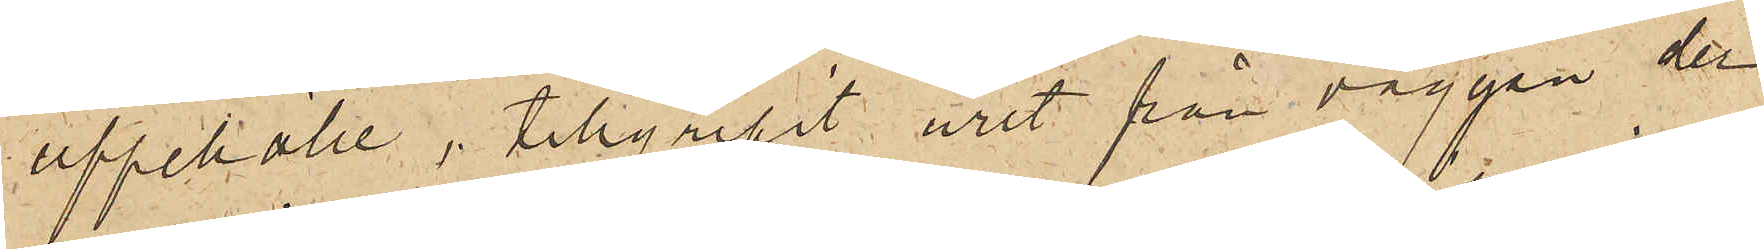uppehälle, tillgripit uret från väggen der
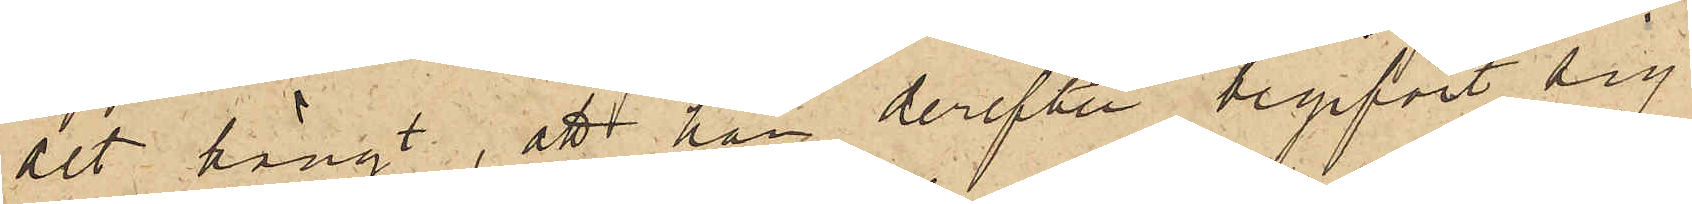det hängt, att han derefter begifvit sig
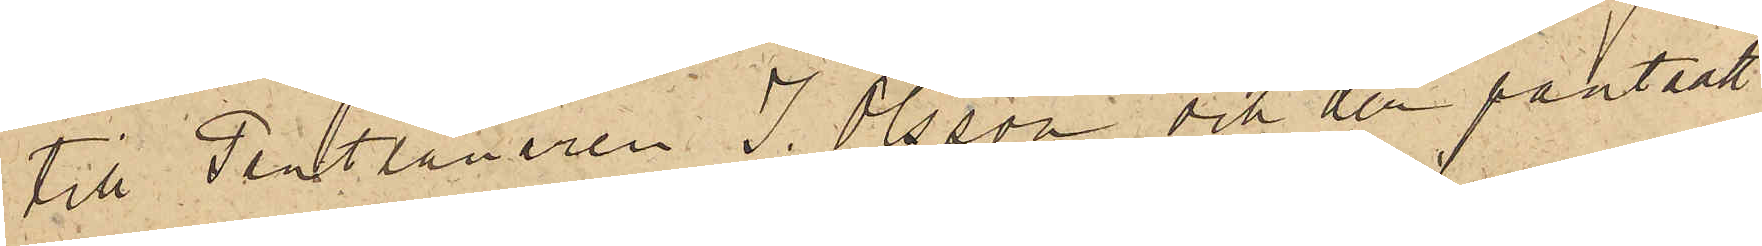till Pantlånaren J. Olsson och der pantsatt
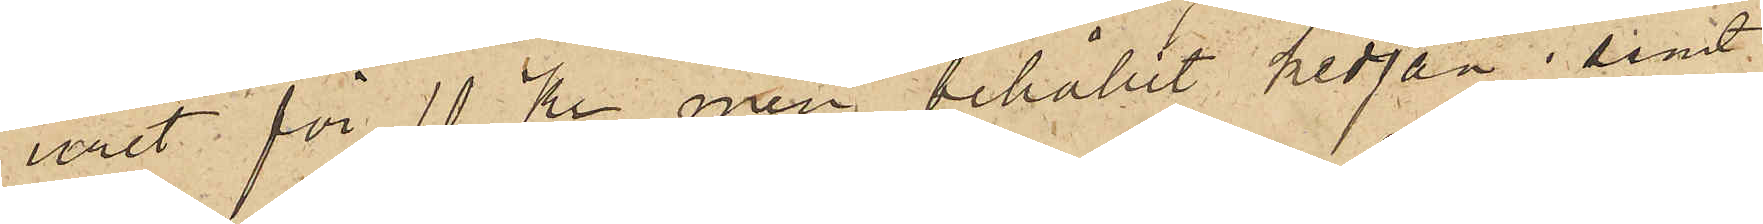uret för 10 Kr men behållit kedjan; samt
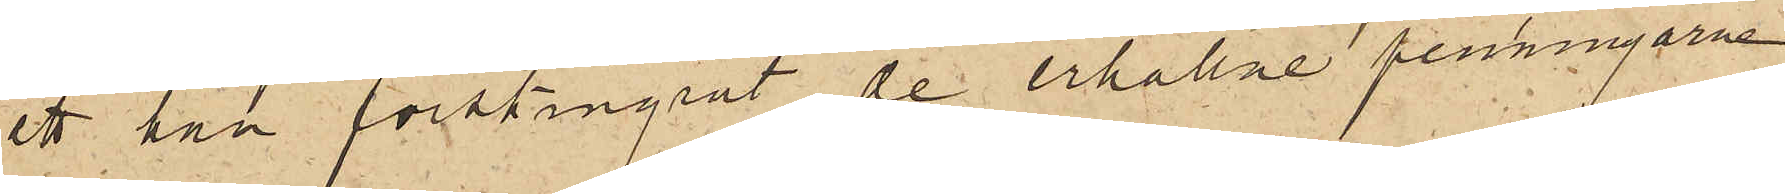att han förskingrat de erhållne penningarne.
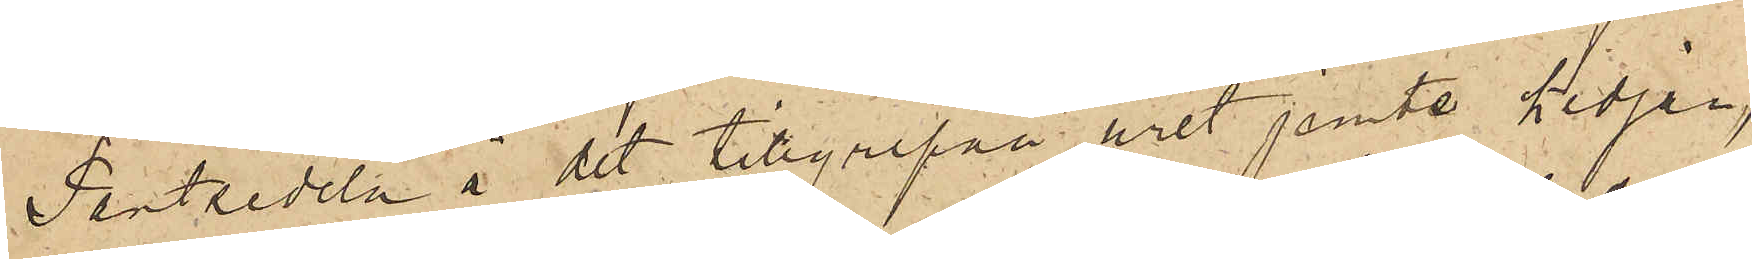Pantsedeln å det tillgripna uret jemte kedjan,
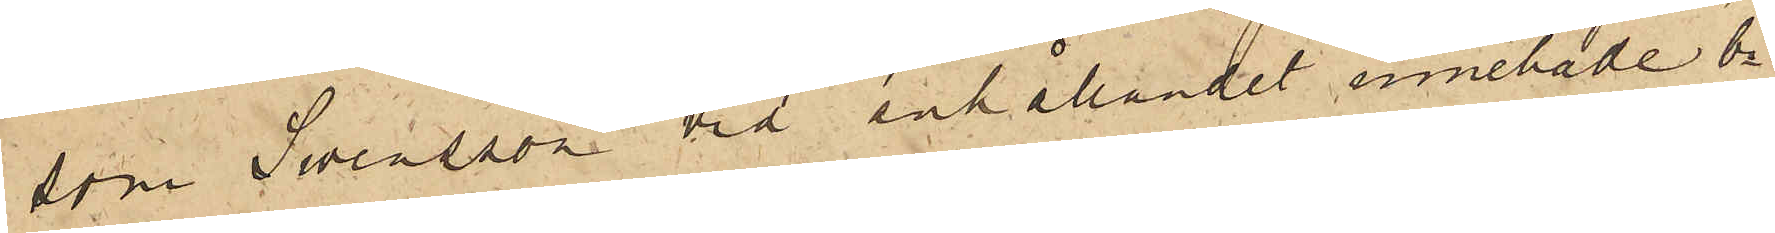som Swensson vid anhållandet innehade, bi¬
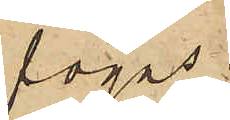fogas.
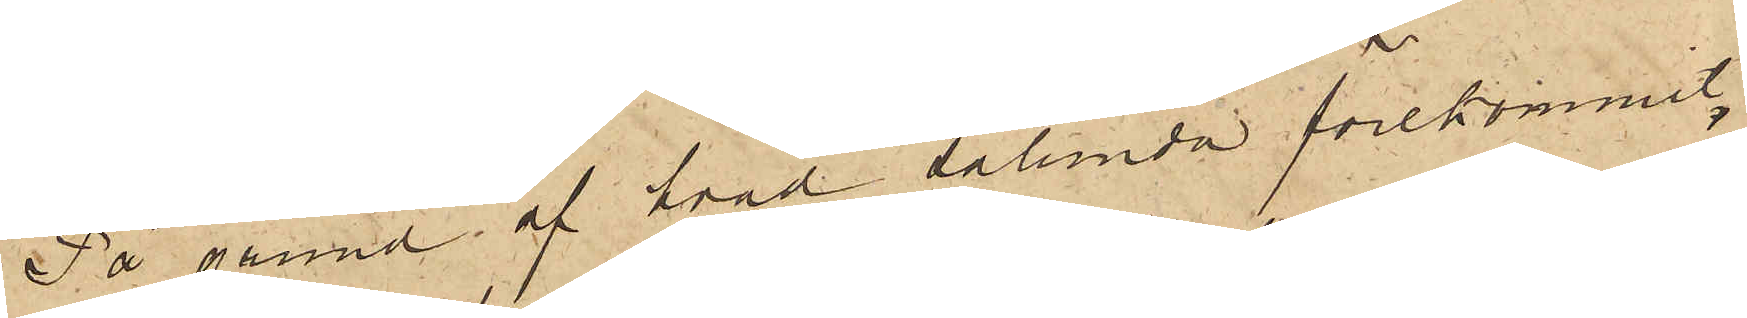På grund af hvad sålunda förekommit,
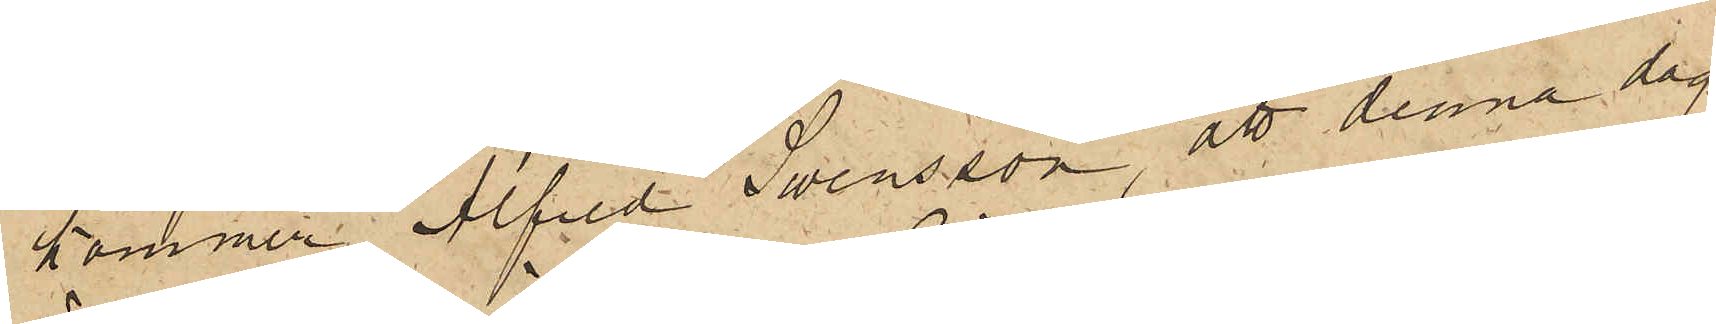kommer Alfred Swensson att denna dag
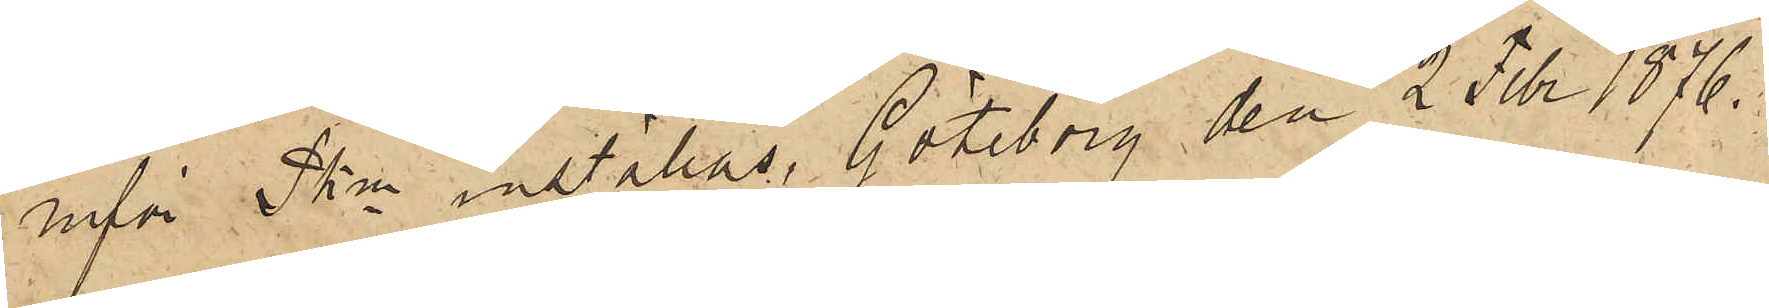inför Pkn inställas. Göteborg den 2 Febr. 1876.
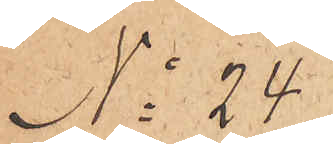No 24
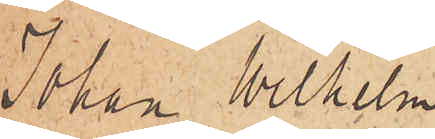Johan Wilhelm
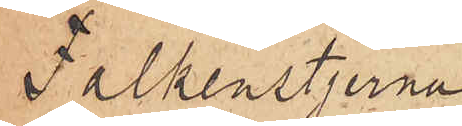Falkenstjerna
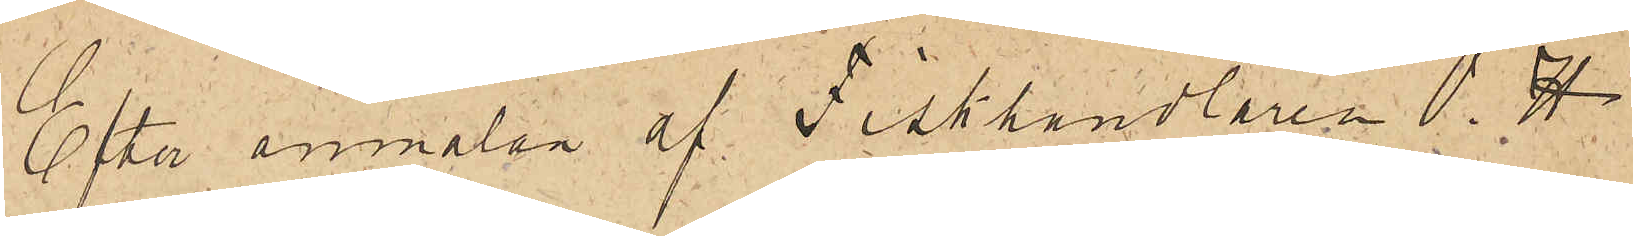Efter anmälan af Fiskhandlaren O.H.
